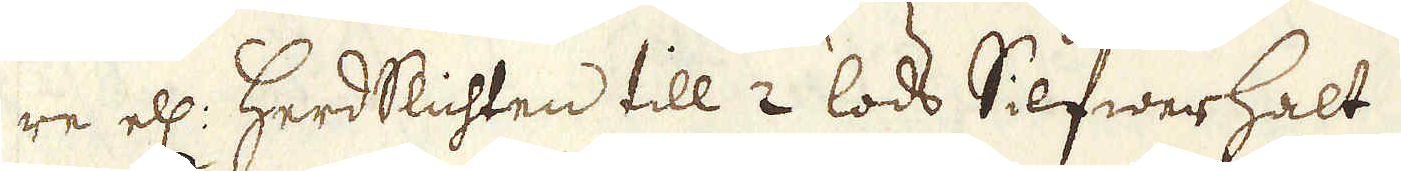re ell: Herdslichten till 2 lods Silfwerhalt.
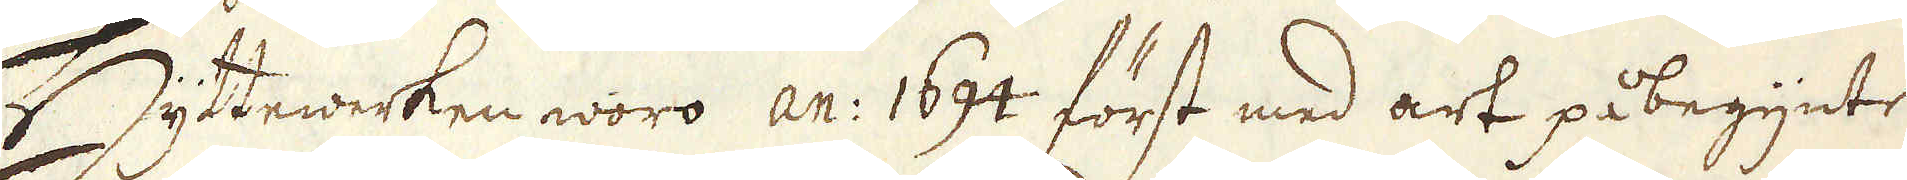Hyttewerken woro an: 1634 först med art påbegynte
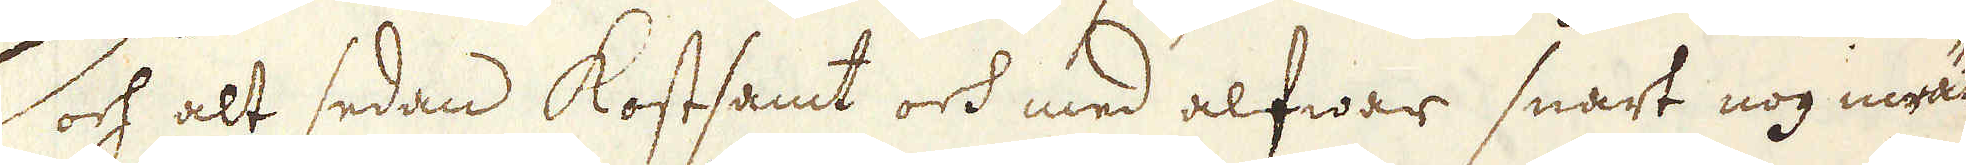och alt sedan kostsamt och med alfwar snart nog inrät-
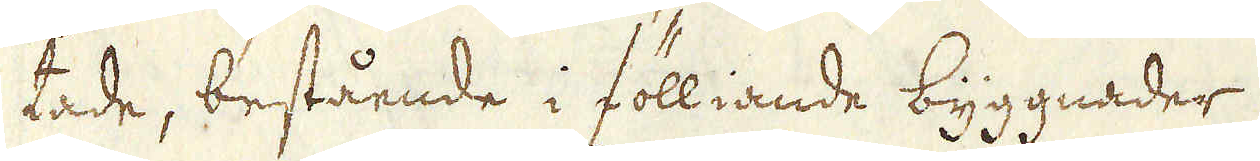tade, bestående i fölliande byggnader:
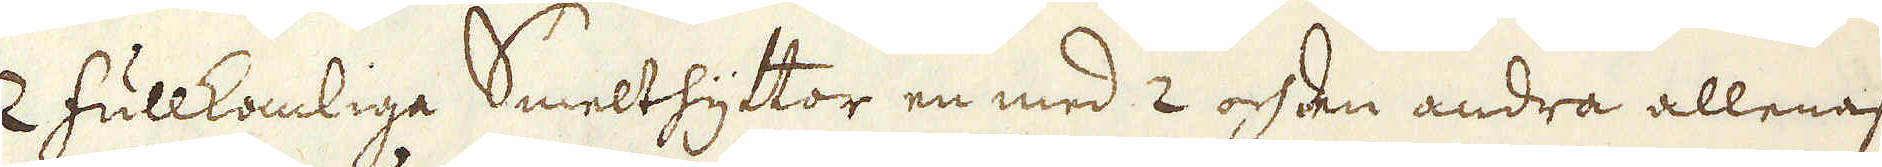2 fullkomlige Smelthyttor en med 2 och den andra allenast
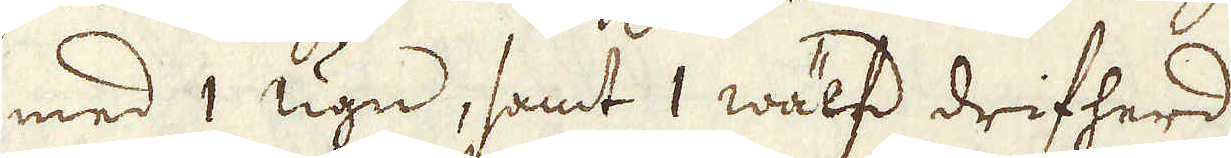med 1 ugn, samt 1 wälfd drifherd.
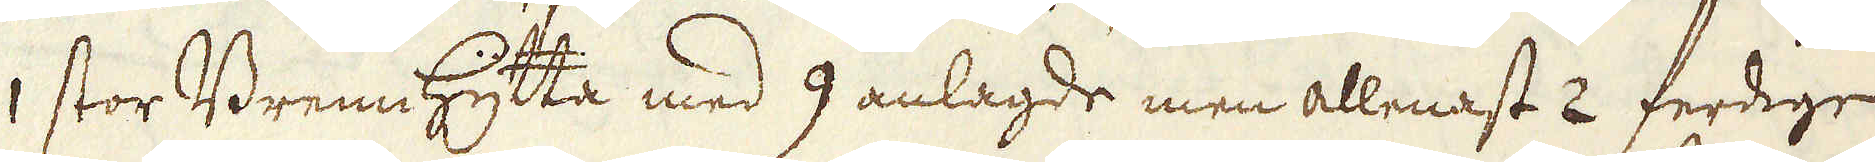1 stor Brennhytta med 9 anlagde men allenast 2 ferdige
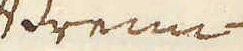Brenn-
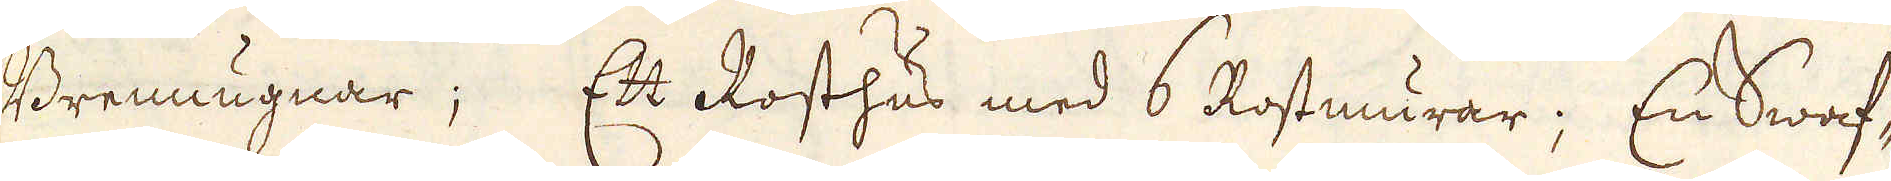Brennugnar; Ett Rosthus med 6 Rostmurar; En Swaf-
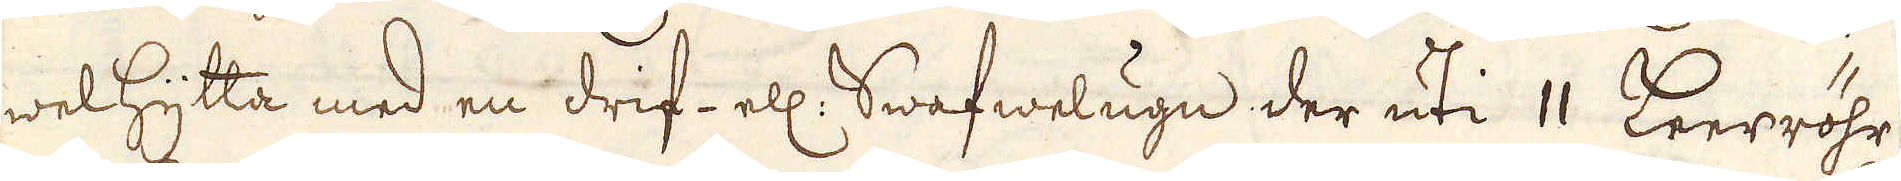welhytta med en drif- ell: Swafwelugn der uti 11 Leerröhr
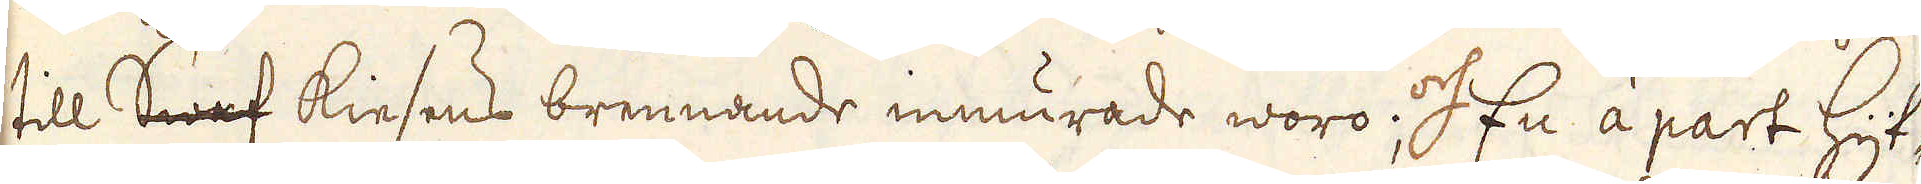till Swaf kiesens brennande inmurade woro; och En à part Hyt-
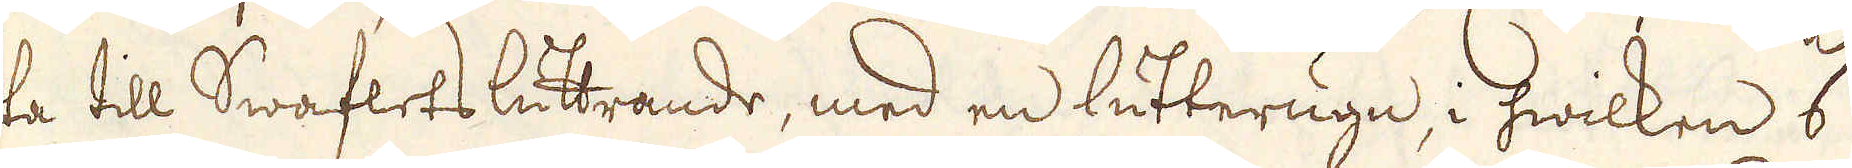ta till Swaflets luttrande, med en lutterugn, i hwilken 6
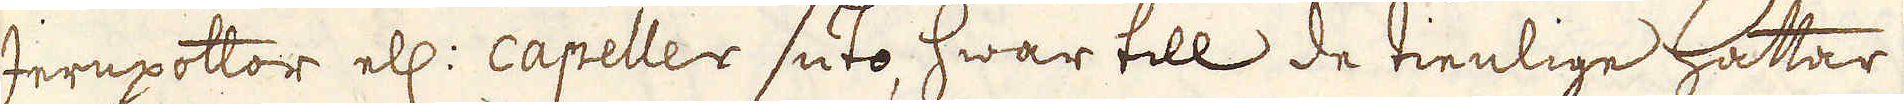Jernpottor ell: capeller suto, hwartill de tienlige Hattar
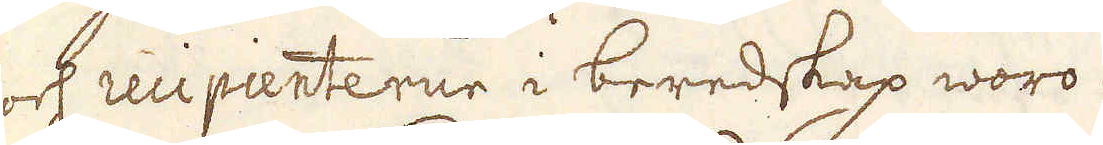ock recipienterne i beredskap woro.
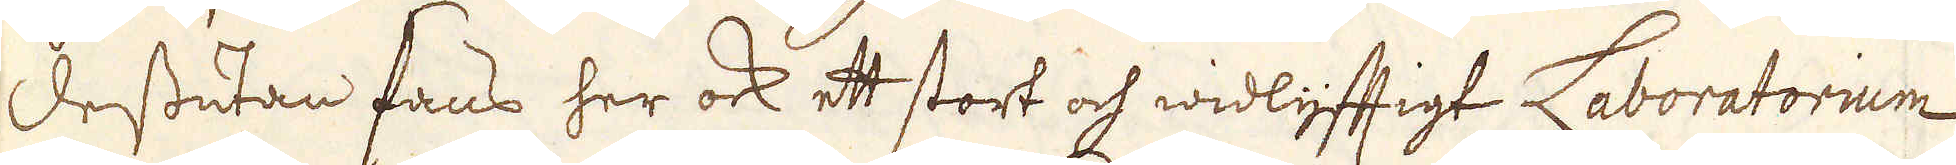Dessutan fans her ock ett stort och widlyfftigt Laboratorium,
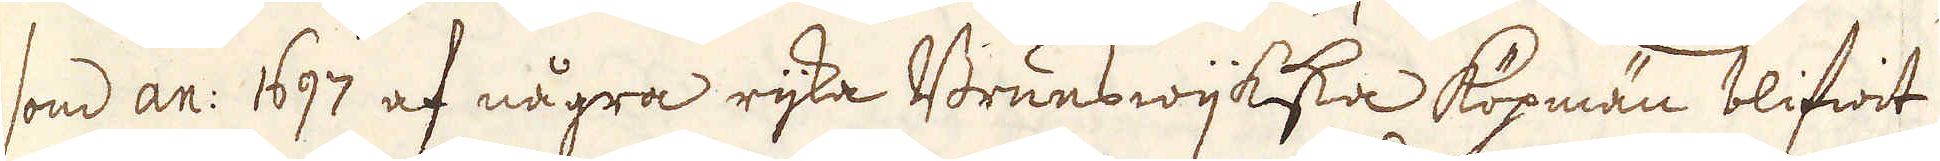som an: 1697 af några rijka Brunswijkska Köpmän blifwit
